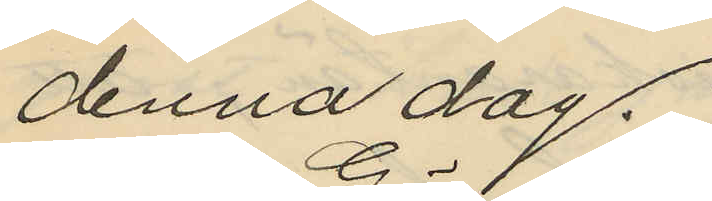denna dag.
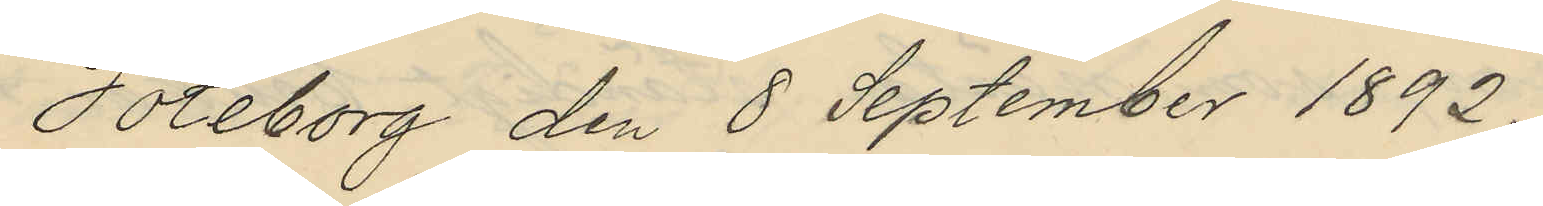Göteborg den 8 September 1892.
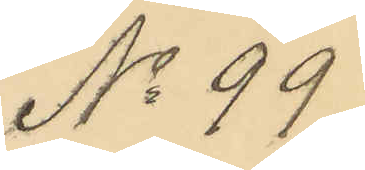No 99
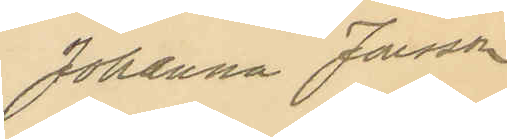Johanna Jonsson
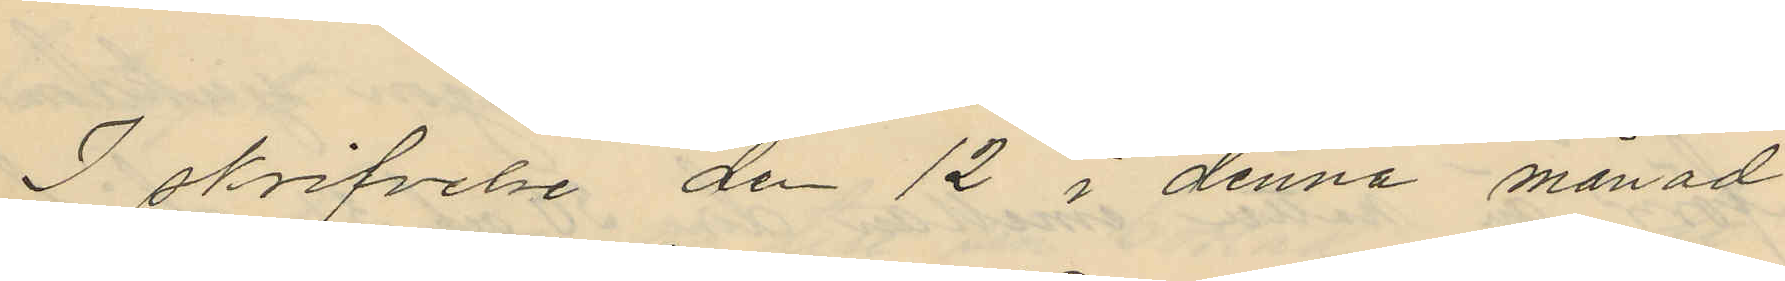I skrifvelse de 12 i denna månad
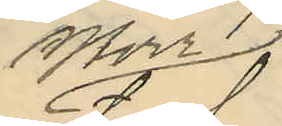Herr
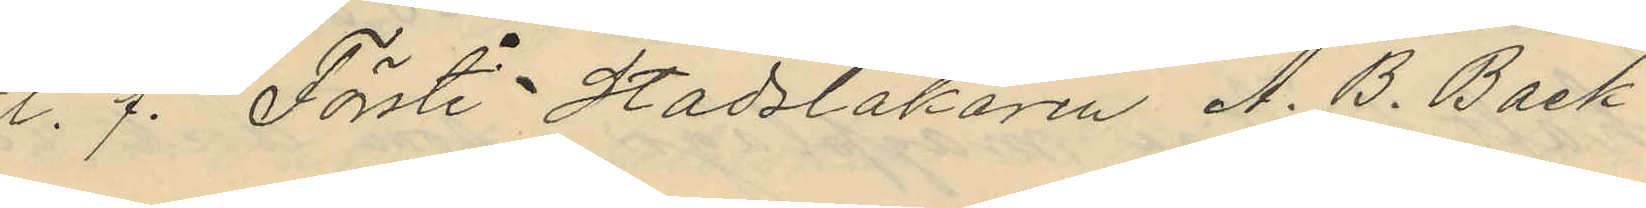t.f. Förste Stadsläkaren A. B. Back¬
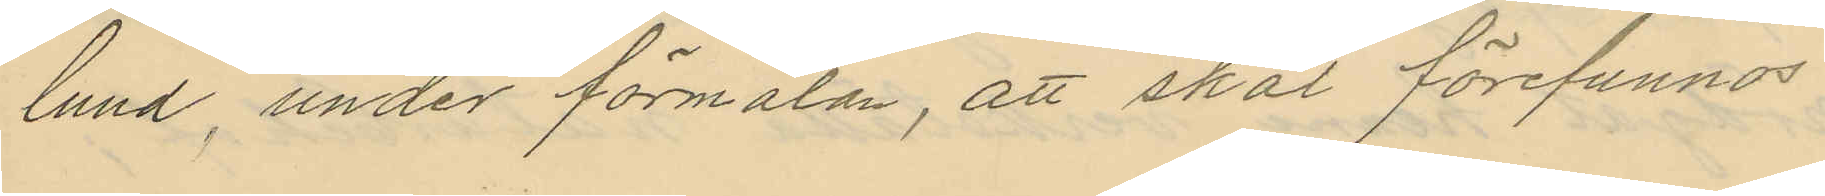lund, under förmälan, att skäl förefunnos
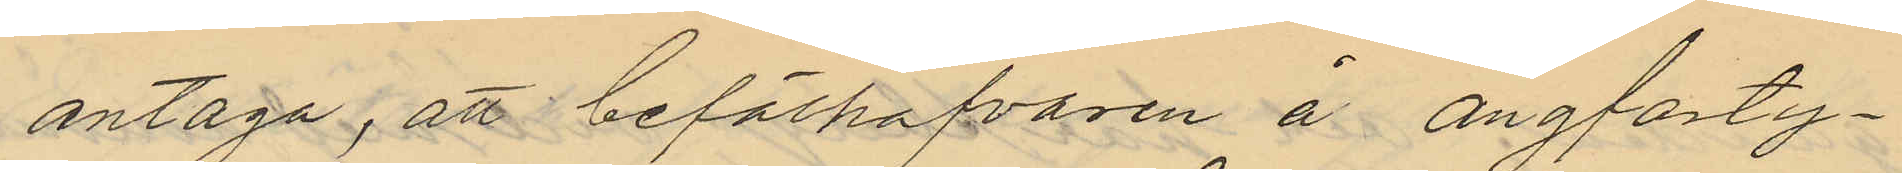antaga att befälhafvaren å ångfarty¬
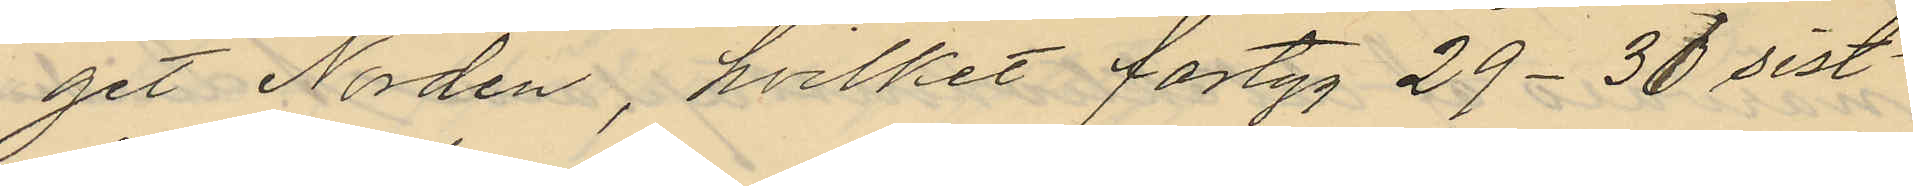get Norden, hvilket fartyg 29-31 sist¬
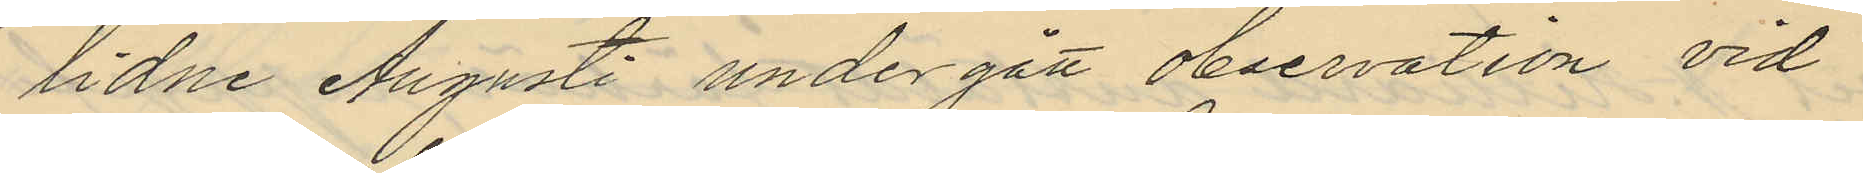lidne Augusti undergått observation vid
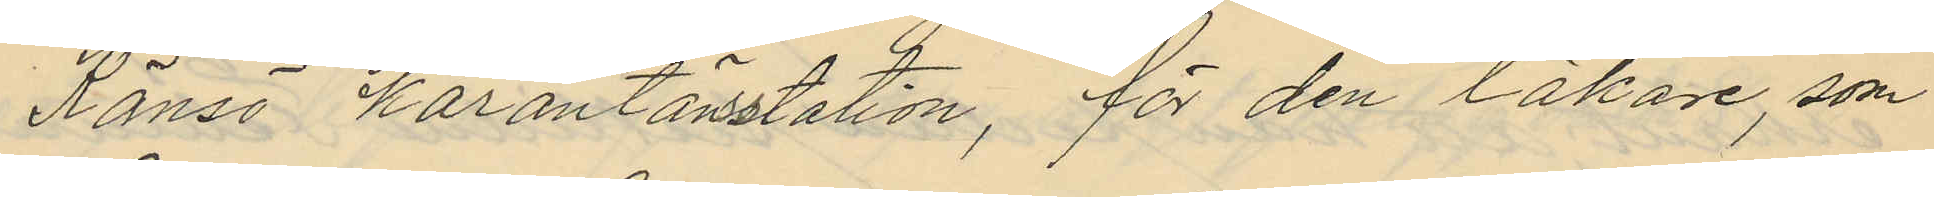Känsö kärantänstation, för den läkare, som
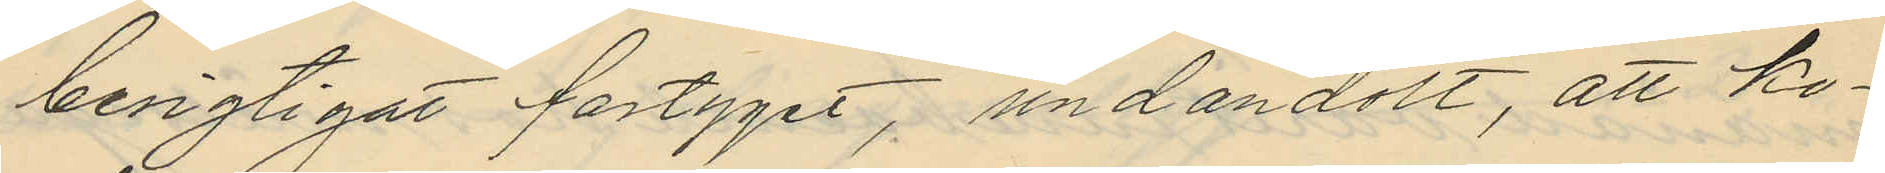besigtigat fartyget, undandolt, att ko¬
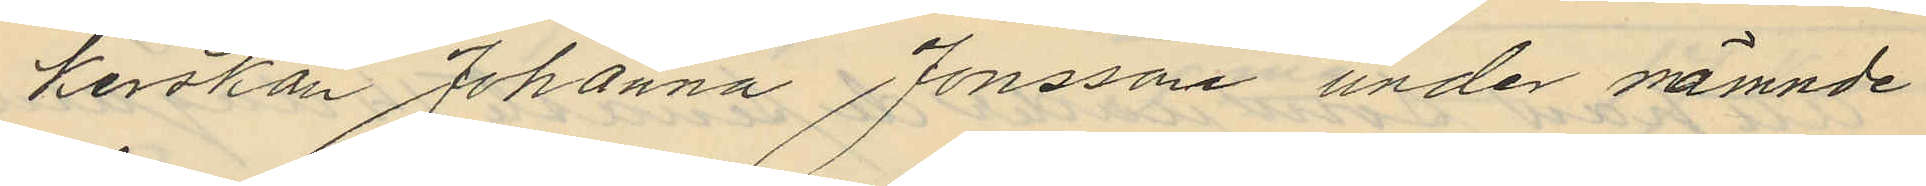kerskan Johanna Jonsson under nämnde
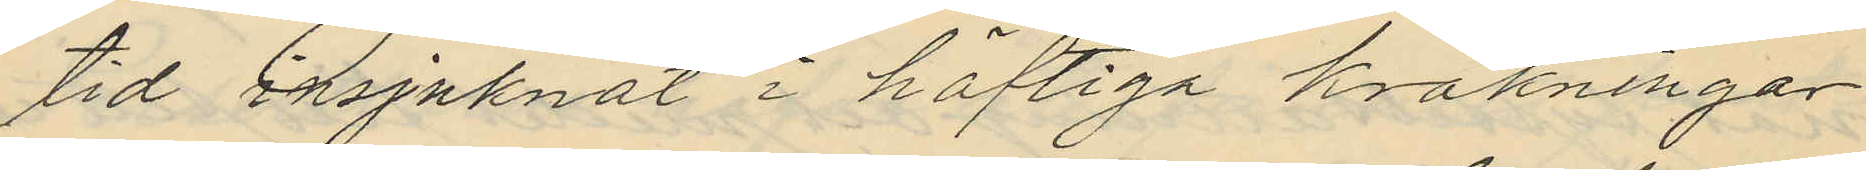tid insjuknat i häftiga kräkningar
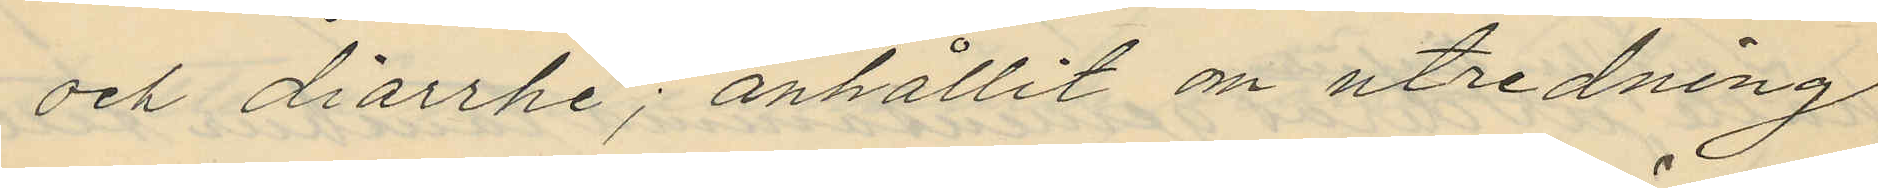och diarrhé; anhållit om utredning
